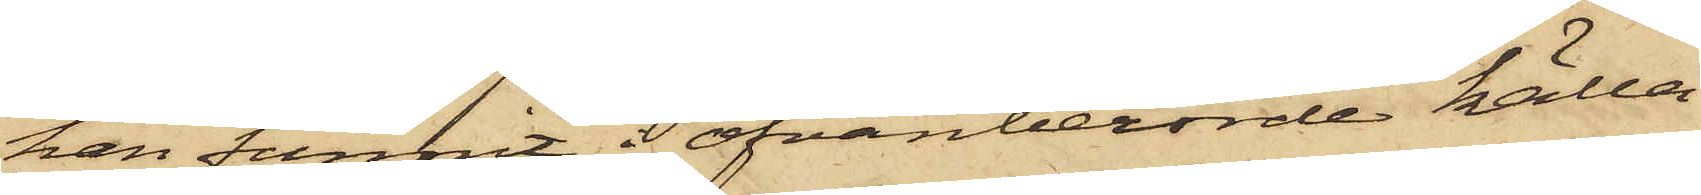han funnit i ofvanberörde källa¬
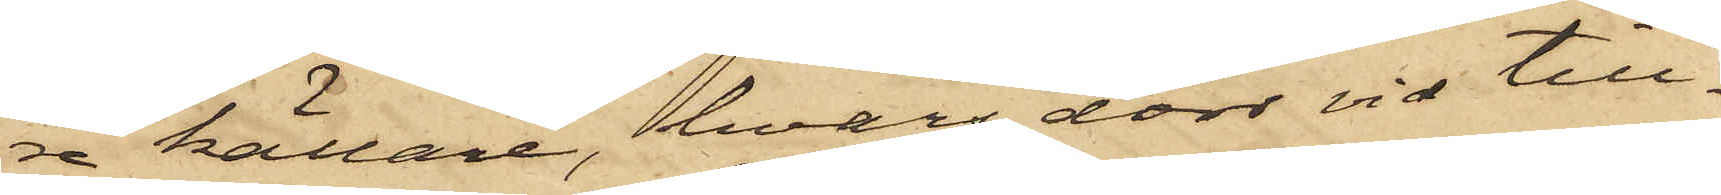re källare, hvars dörr vid till¬
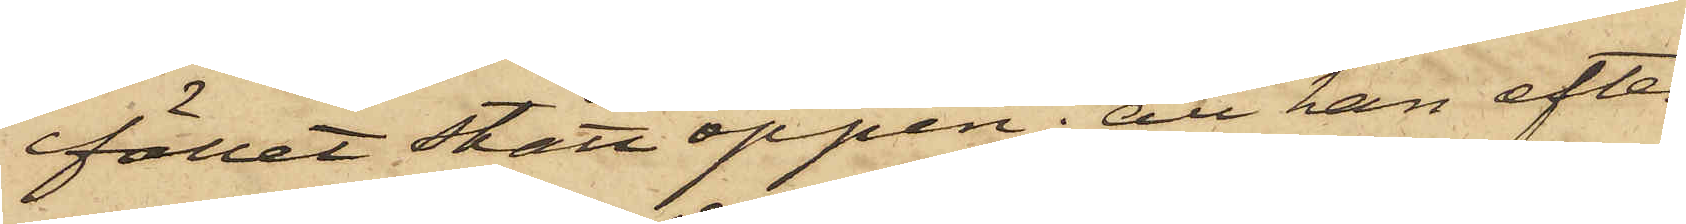fället stått öppen; att han efter
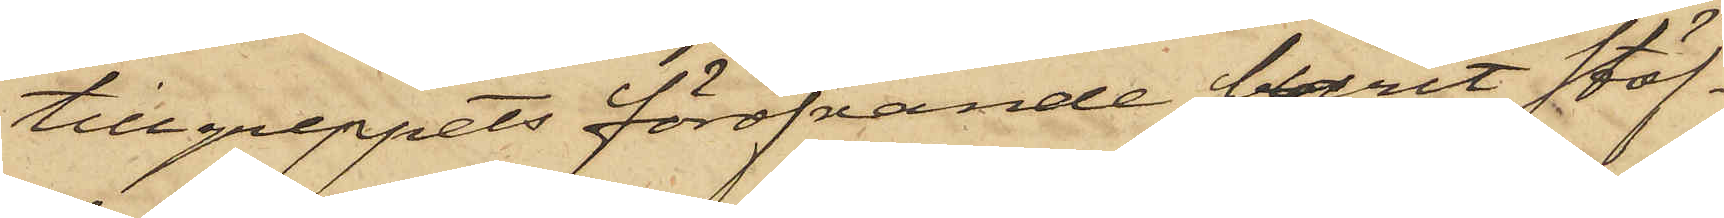tillgreppets föröfvande burit stöf¬
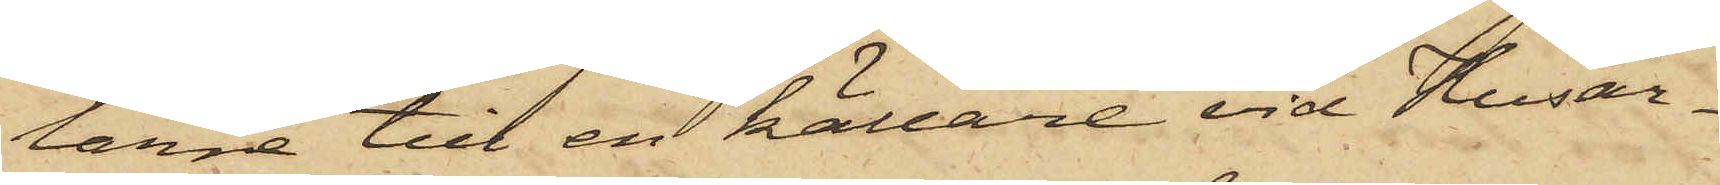larne till en källare vid Husar¬
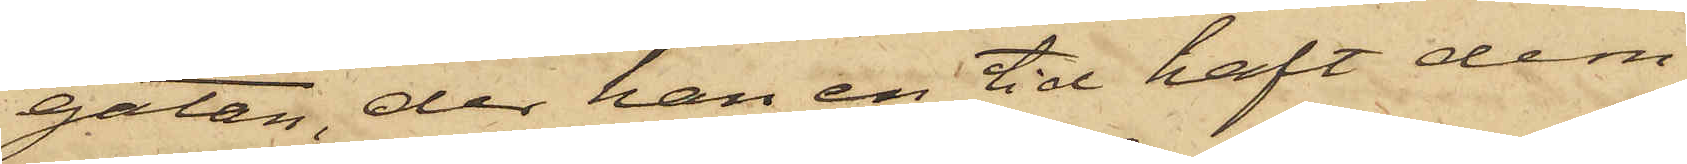gatan, der han en tid haft dem
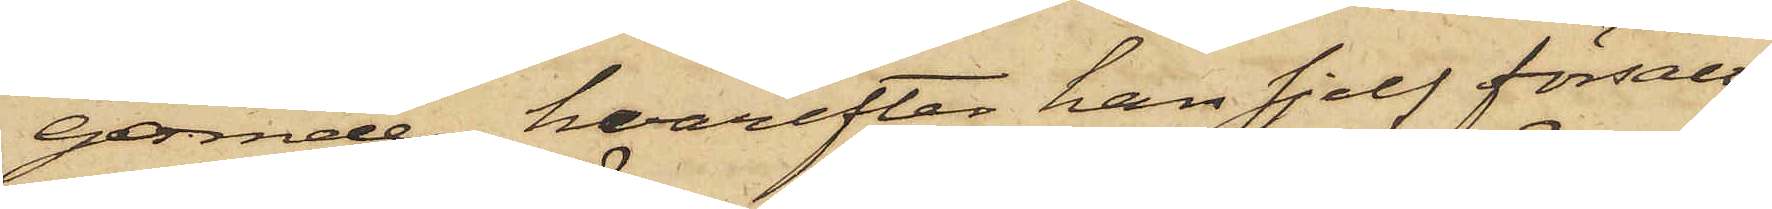gömde, hvarefter han sjelf försålt
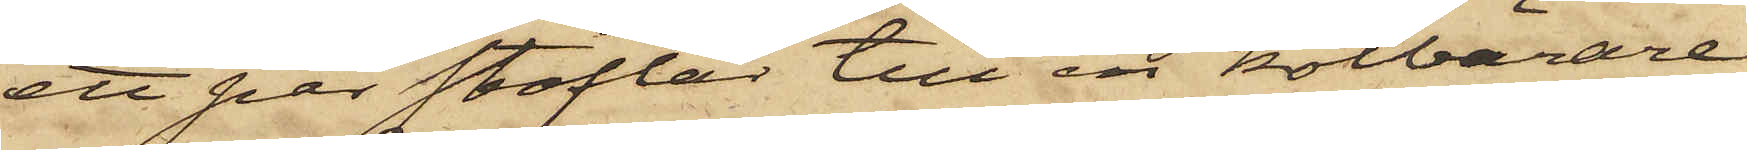ett par stöflar till en kolbärare
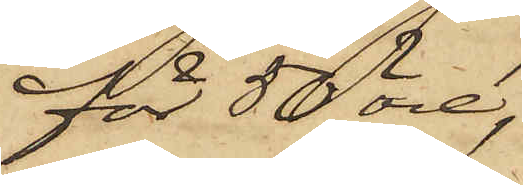för 50 öre,
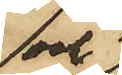och
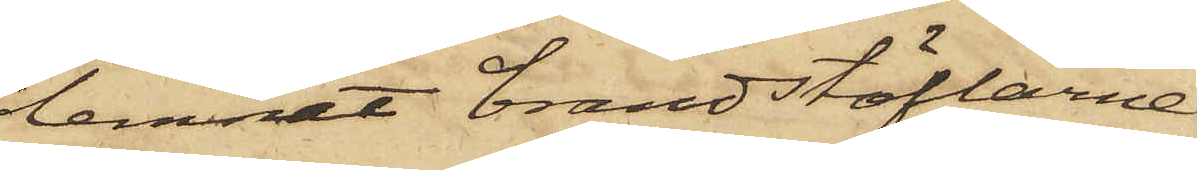lemnat brandstöflarne
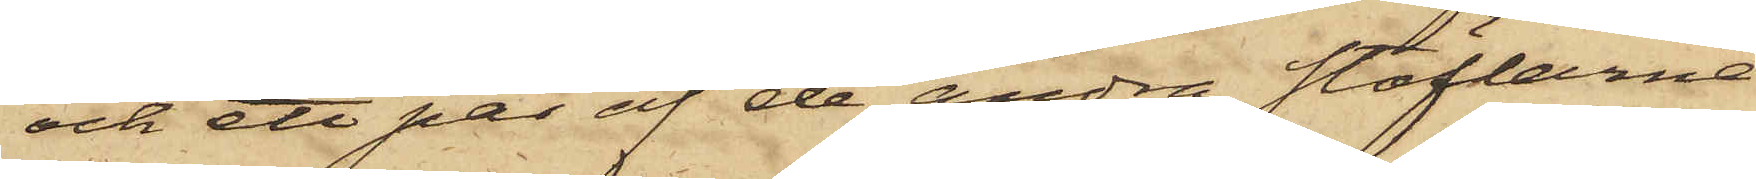och ett par af de andra stöflarne
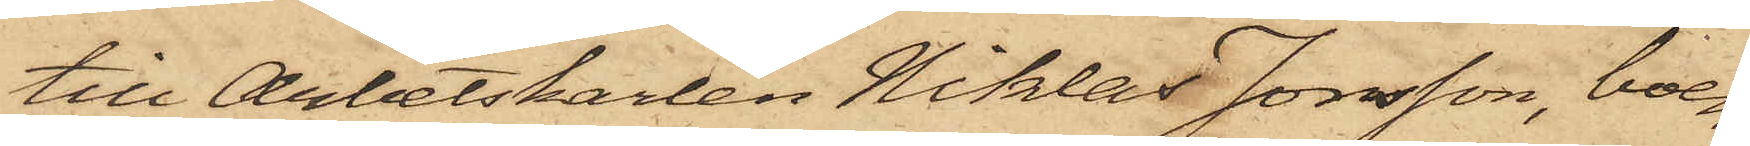till Arbetskarlen Niklas Jonsson, boen¬
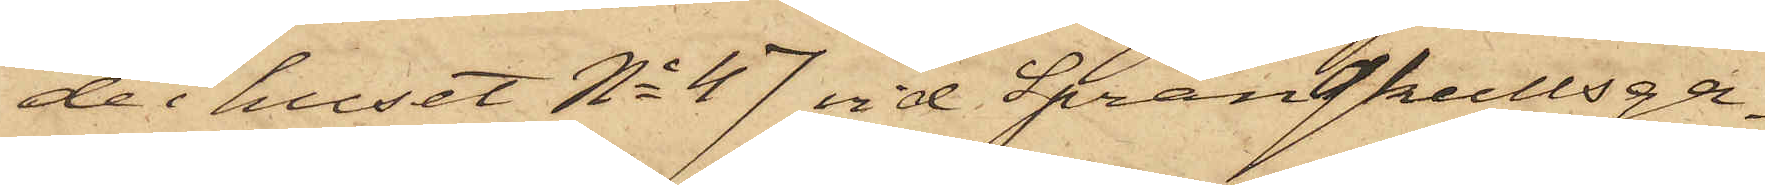de i huset No 47 vid Sprängkullsga¬
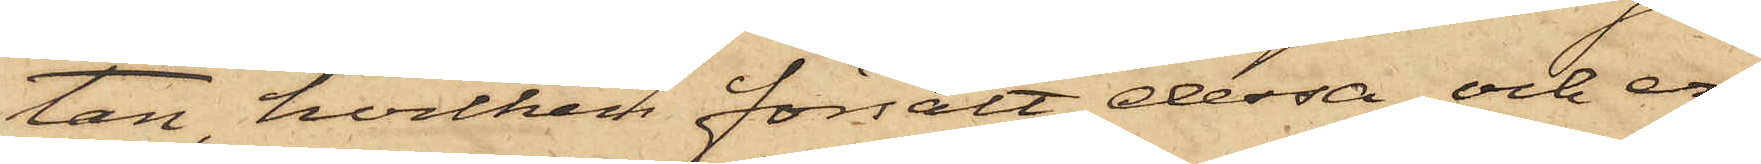tan, hvilken försålt dessa och er¬
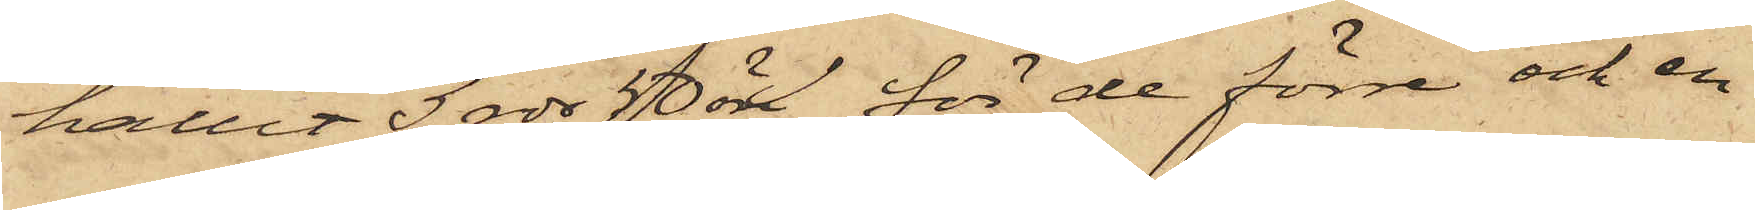hållit 3 rdr 50 öre för de förre och en
